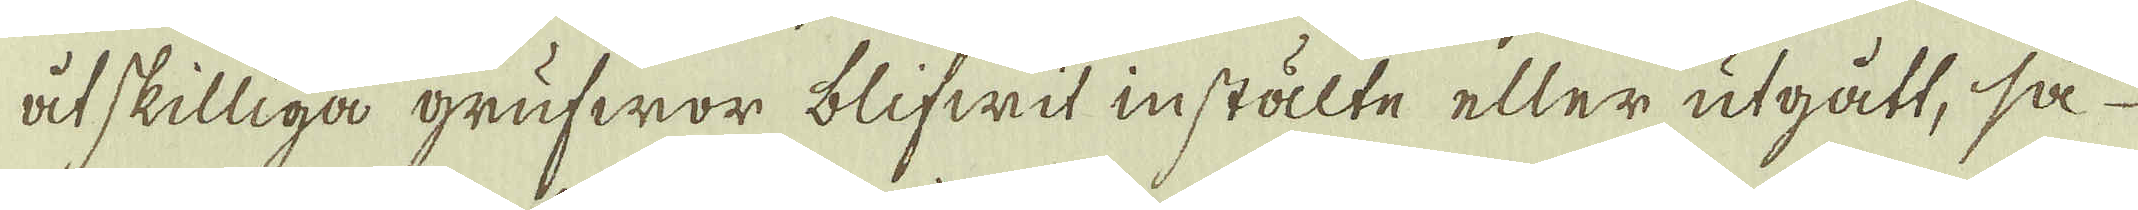åtskilliga grufwor blifwit instälte eller utgått, så
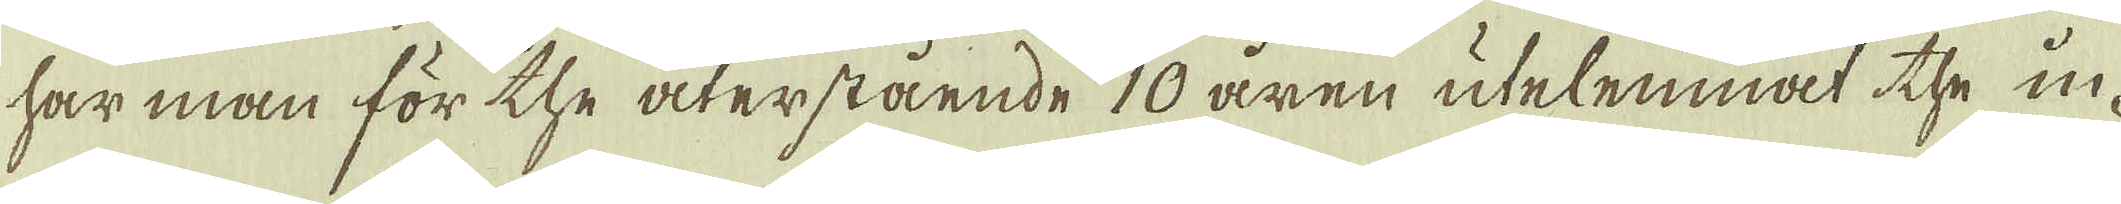har man för the återstående 10 åren utelemnat the in-
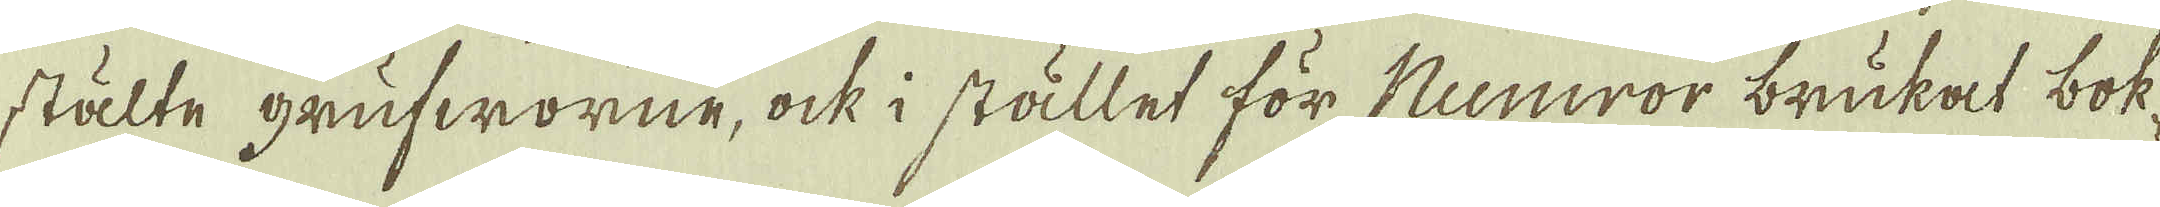stälte grufworne, ock i stället för Numror brukat bok-
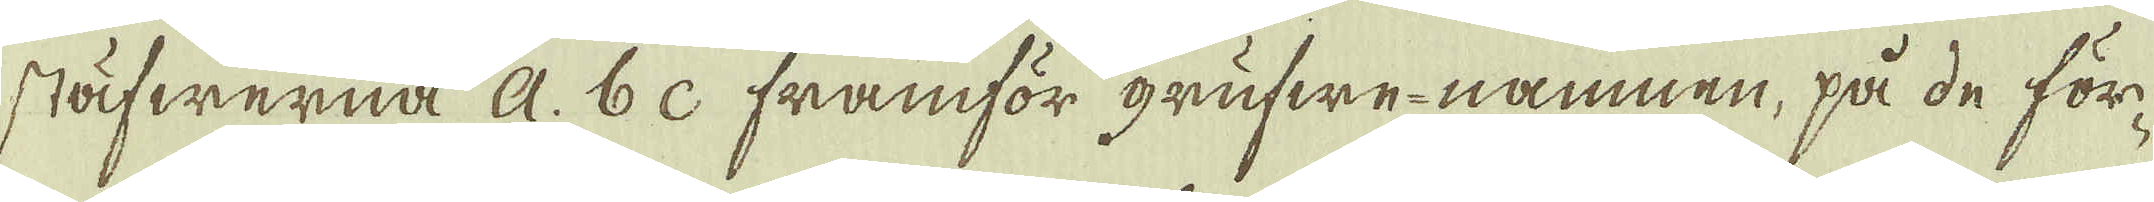stäfwerna a. b c framför grufwe-namnen, på de för-
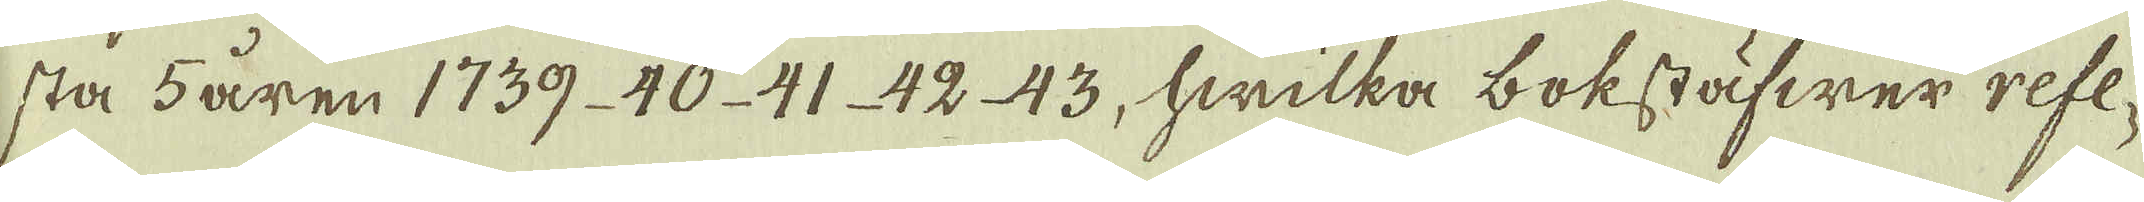sta 5 åren 1739. 40. 41 42 43, hwilka bokstäfwer refe-
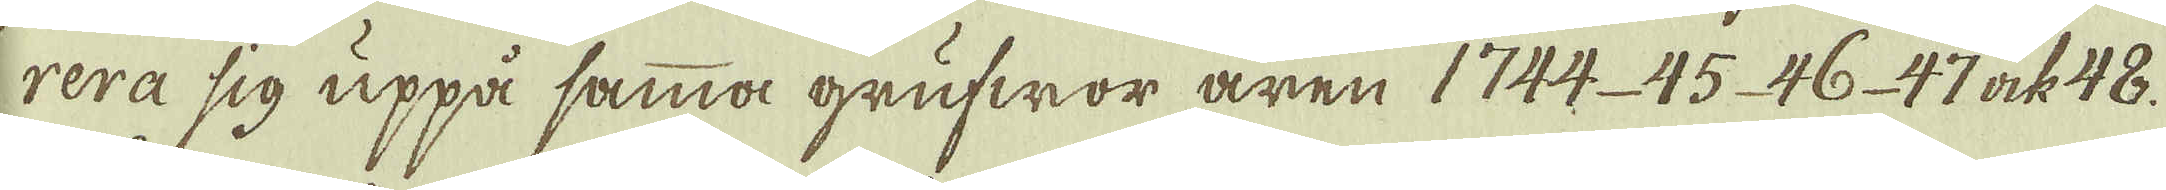rera sig uppå samma grufwor åren 1744. 45 46. 47 ock 48.
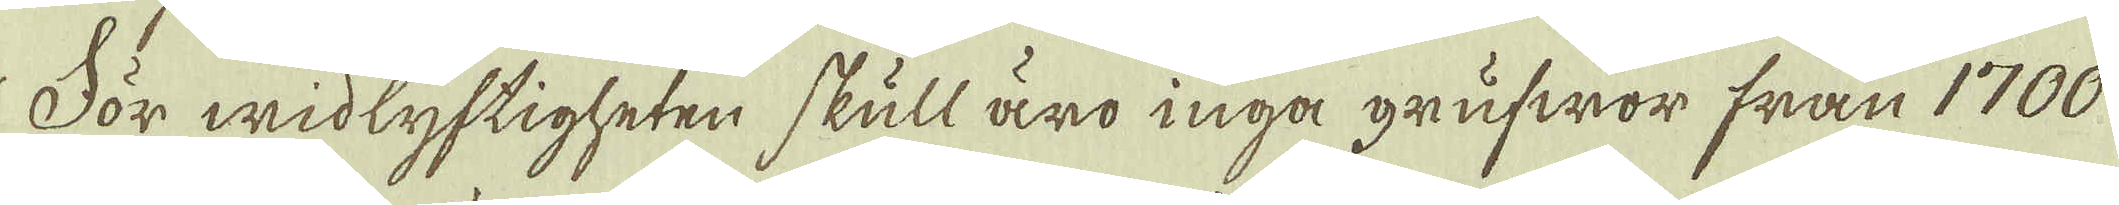För widlyftigheten skull äro inga grufwor från 1700
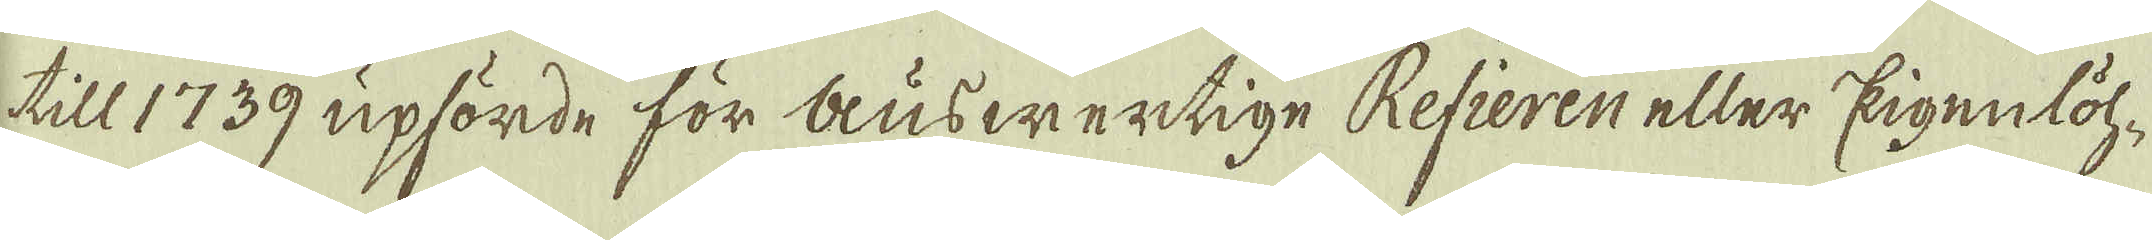till 1739 upförde för auswertige Refieren eller Eigenlöh-
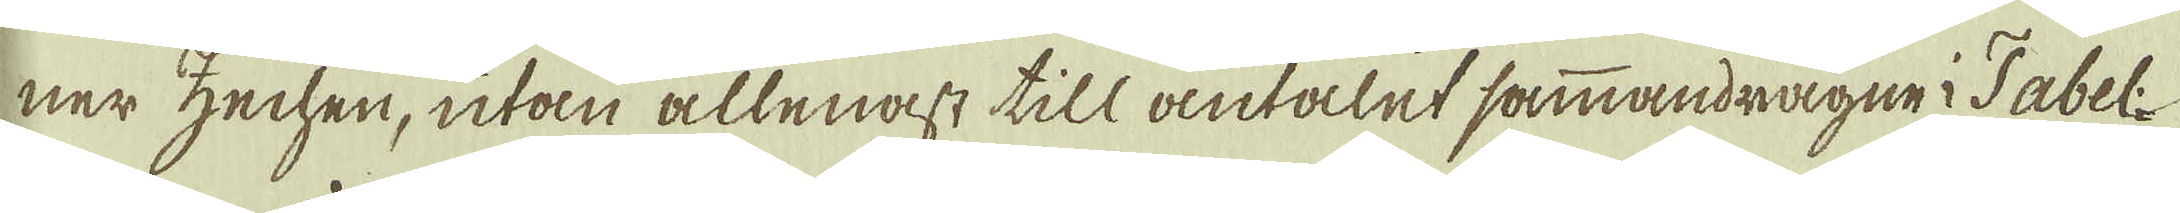ner zechen, utan allenast till antalet sammandragne Tabel
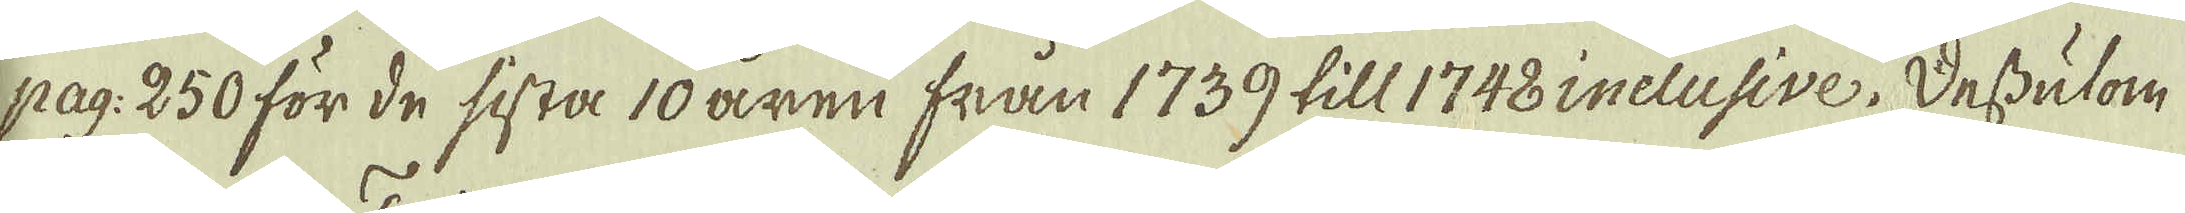pag: 250 för de sista 10 åren från 1739 till 1748 inclusive. Dessutom
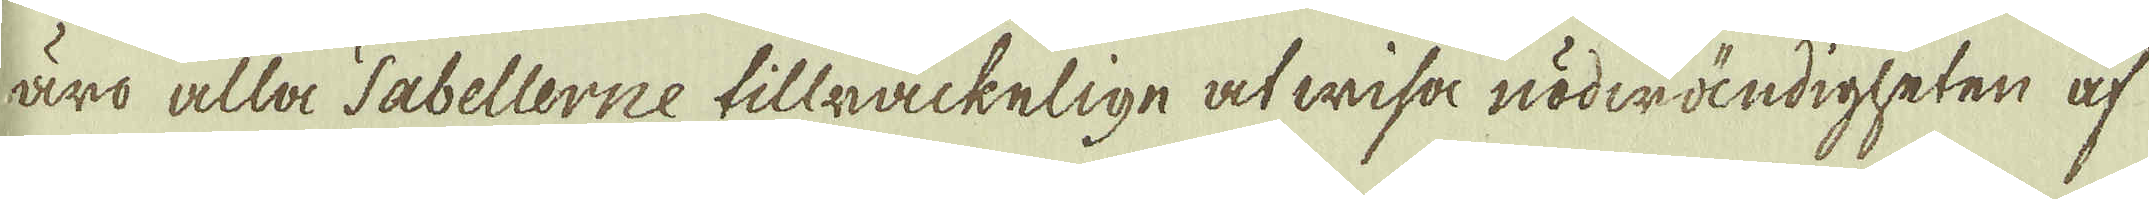äro alla Tabellerne tillräckelige at wisa nödwändigheten af
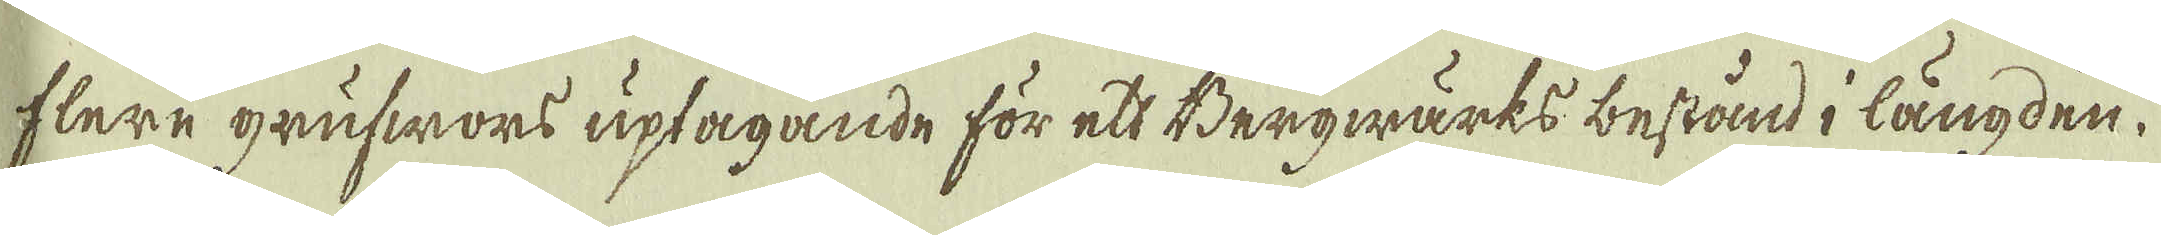flere grufwors uptagande för ett Bergwärks bestånd i längden.
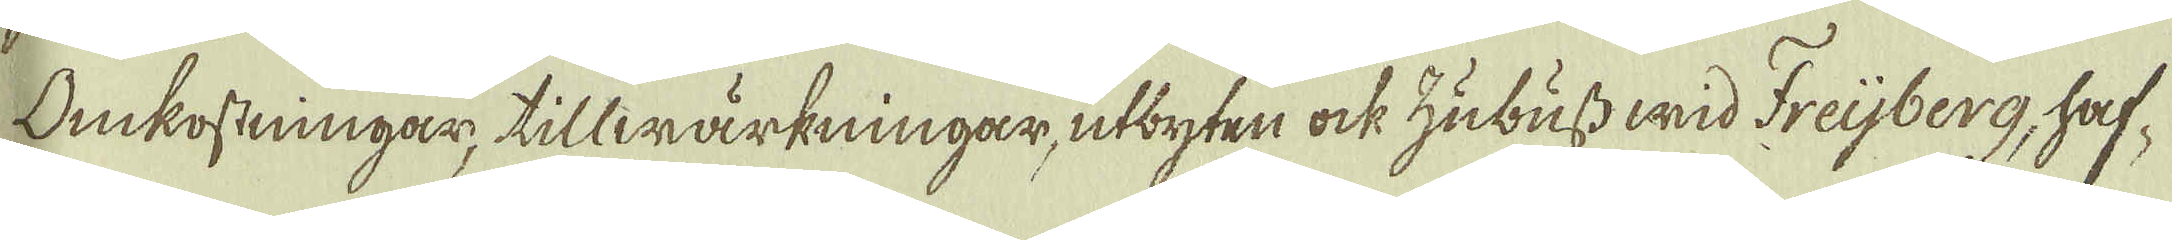Onkostningar, tillwärkningar, utbyten ock Zubuss wid Freijberg, haf-
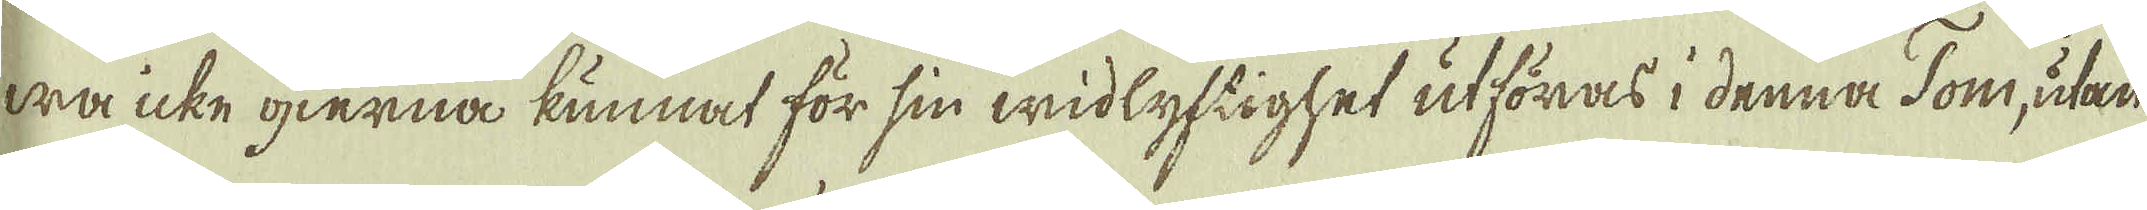wa icke gierna kunnat för sin widlyftighet utföras i denna Tom, utan
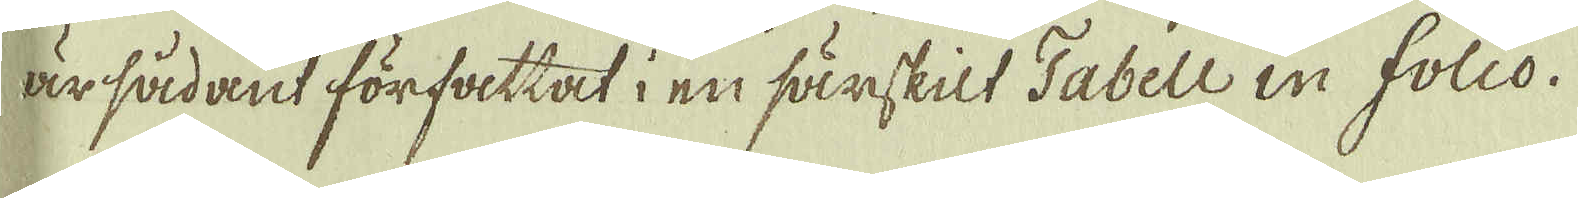är sådant författat i en särskilt Tabell in folio.
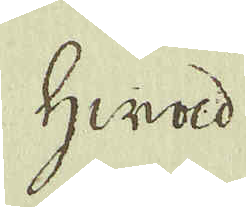Hwad
